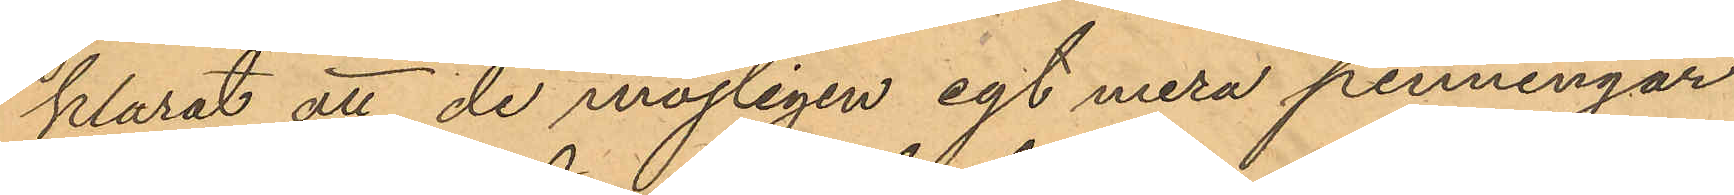klarat att de möjligen egt mera penningar
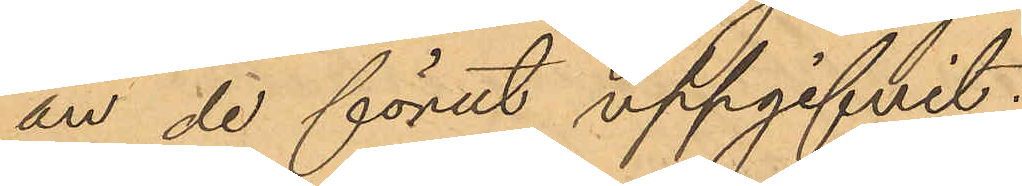än de förut uppgifvit.
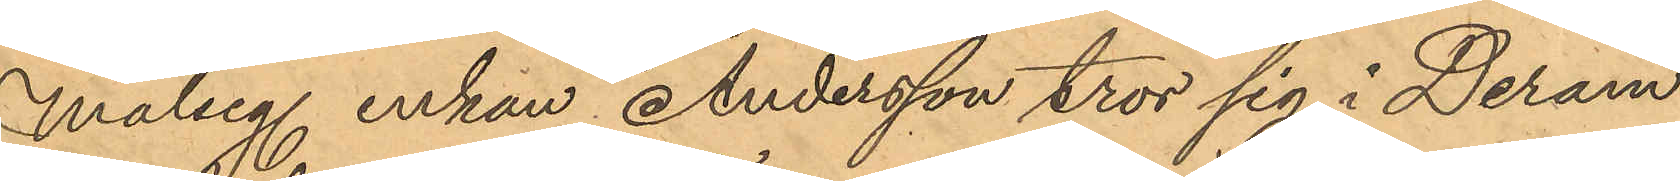Målseg. enkan Andersson tror sig i Deram
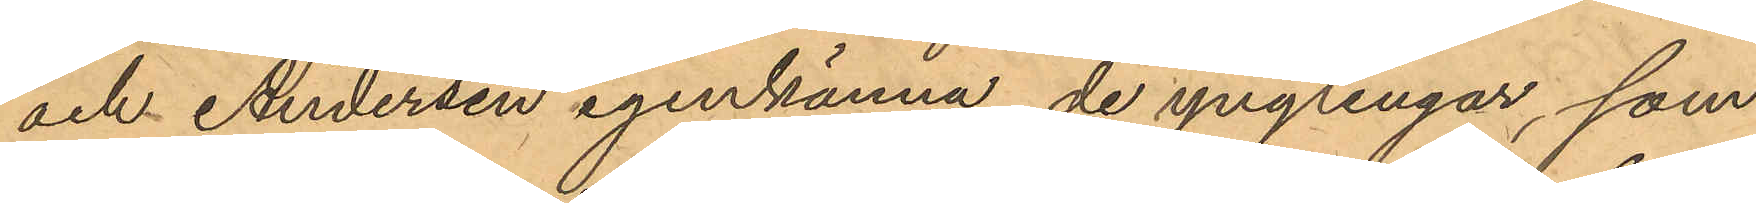och Andersen igenkänna de ynglingar, som
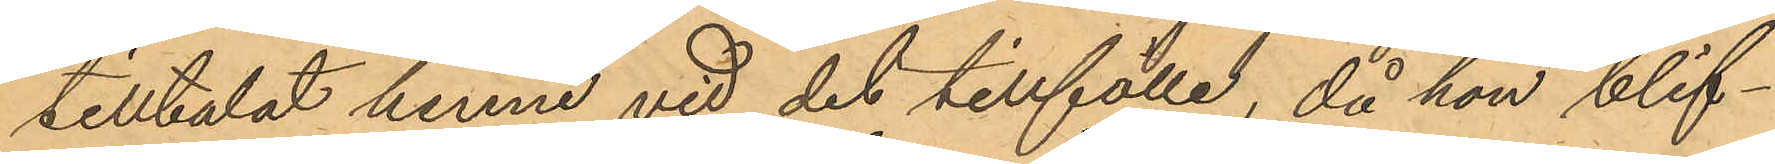tilltalat henne vid det tillfälle, då hon blif¬
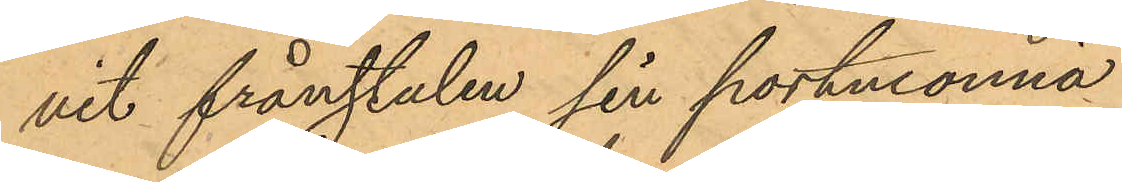vit frånstulen sin portmonnä
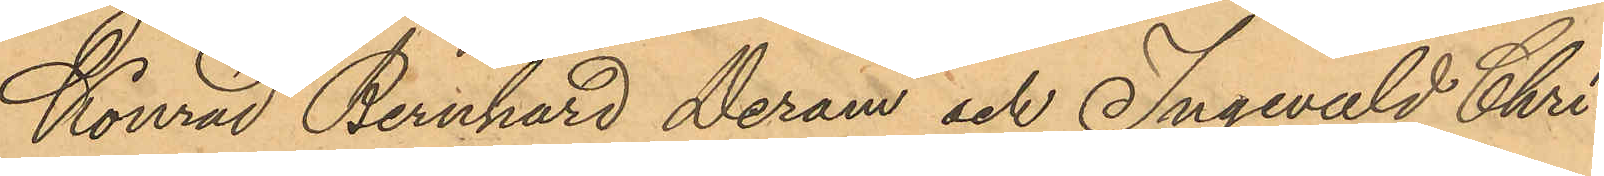Konrad Bernhard Deram och Ingevald Chri¬
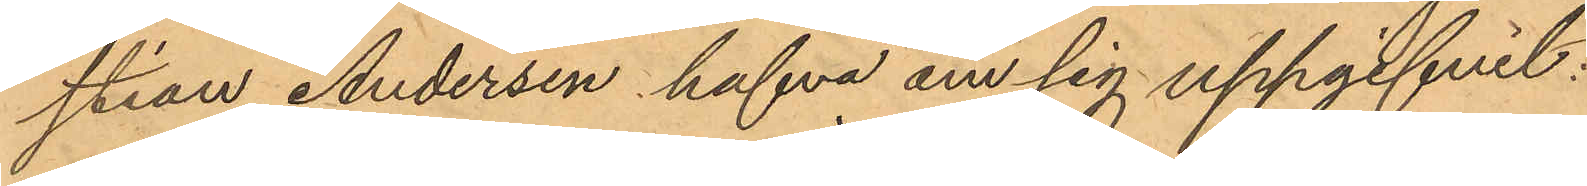stian Andersen hafva om sig uppgifvit:
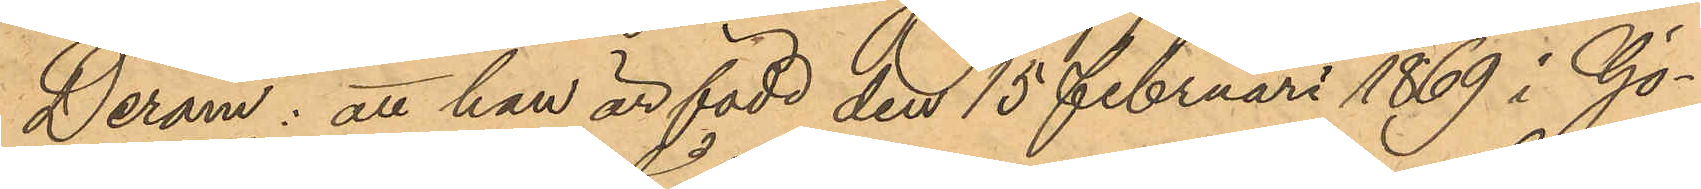Deram: att han är född den 15 Februari 1869 i Gö¬
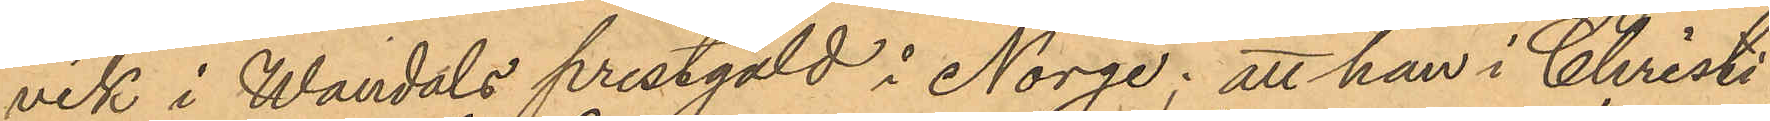vik i Wandals prestgäld i Norge; att han i Christi¬
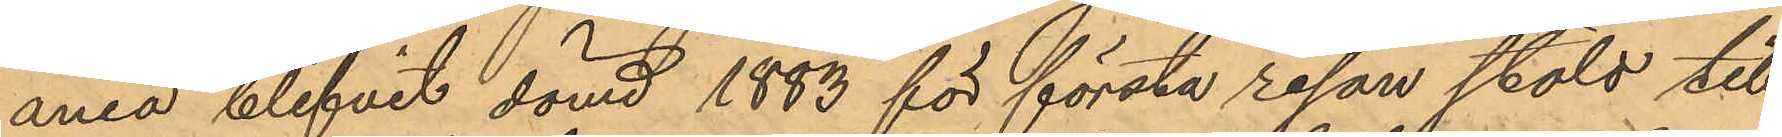ania blifvit dömd 1883 för första resan stöld till
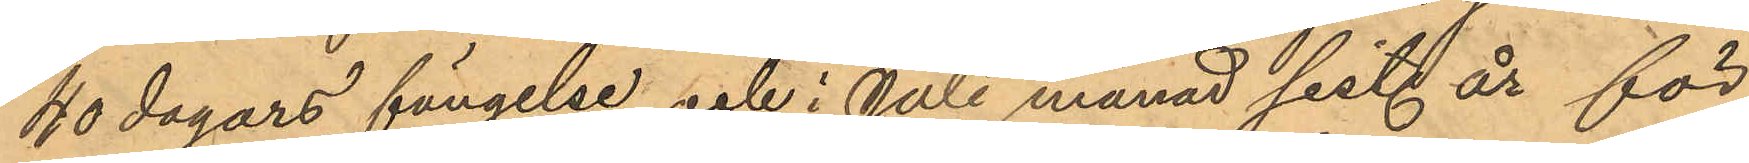40 dagars fängelse och i Juli månad sist. år för
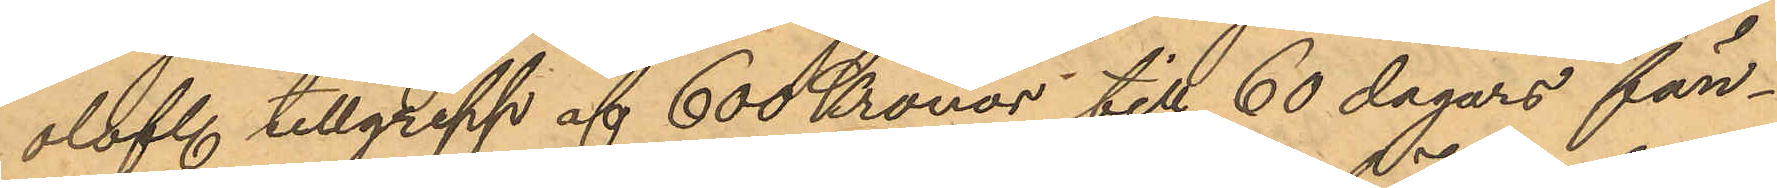olofl. tillgrepp af 600 Kronor till 60 dagars fän¬
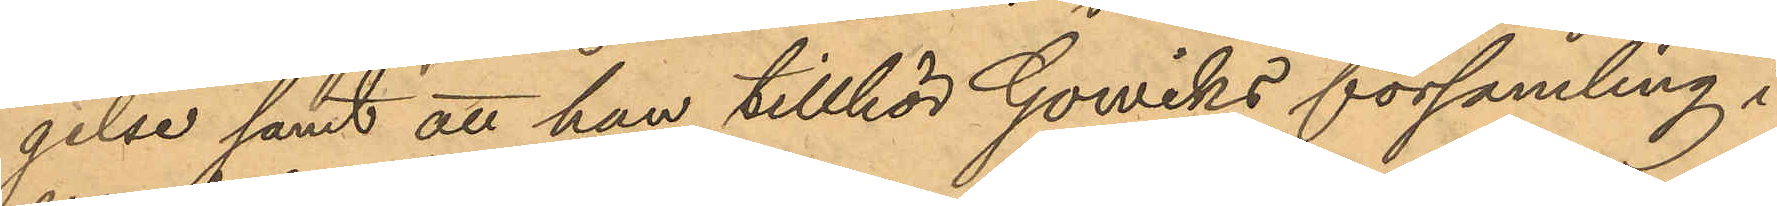gelse samt att han tillhör Gowiks församling
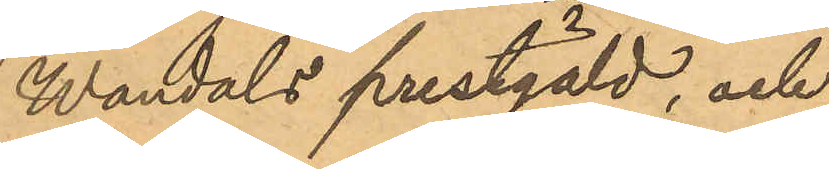Wandals prestgäld, och
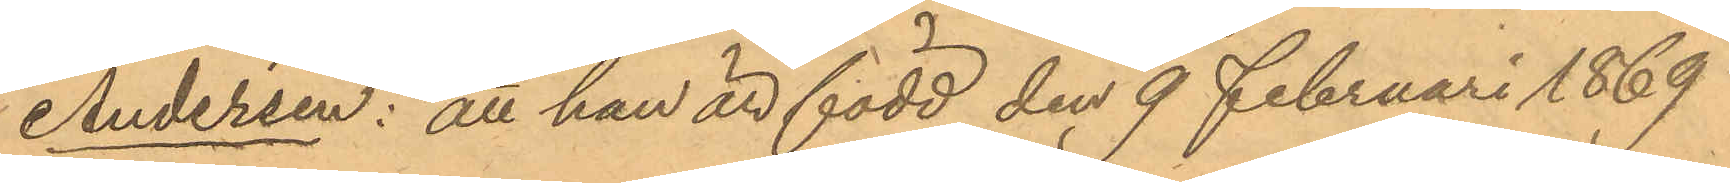Andersen: att han är född den 9 Februari 1869
